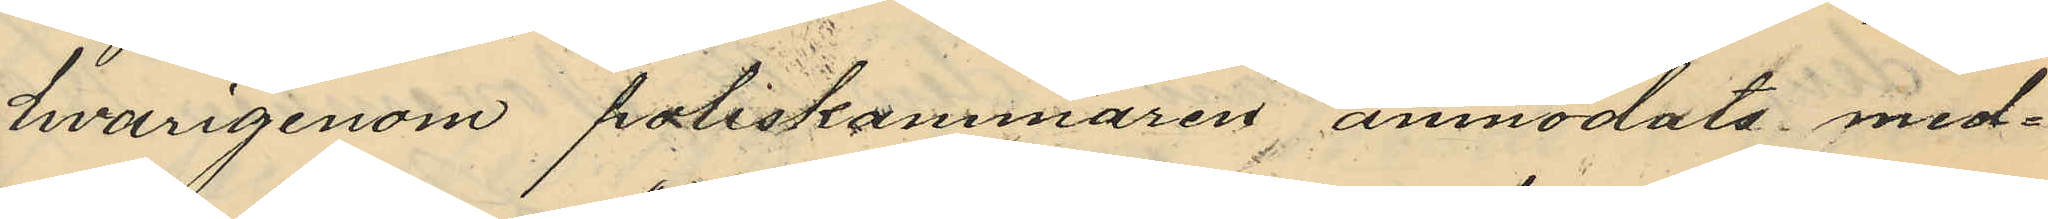hvarigenom poliskammaren anmodats med¬
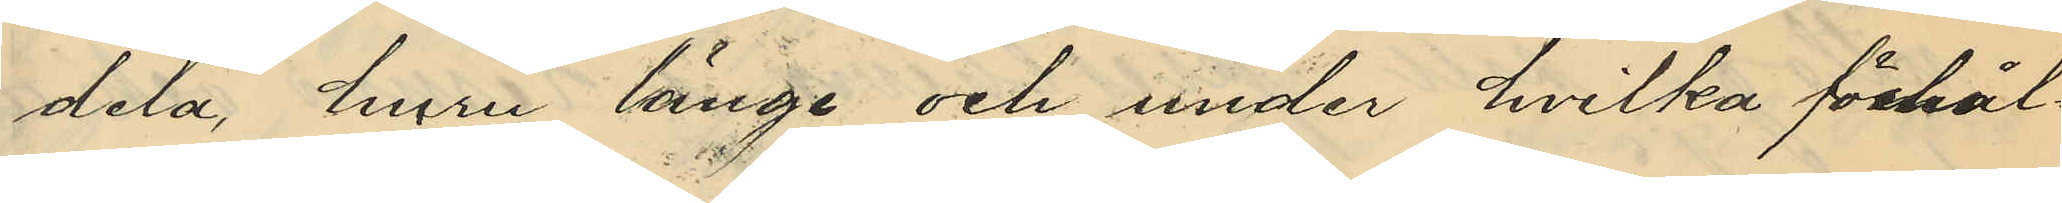dela, huru länge och under hvilka förhål¬
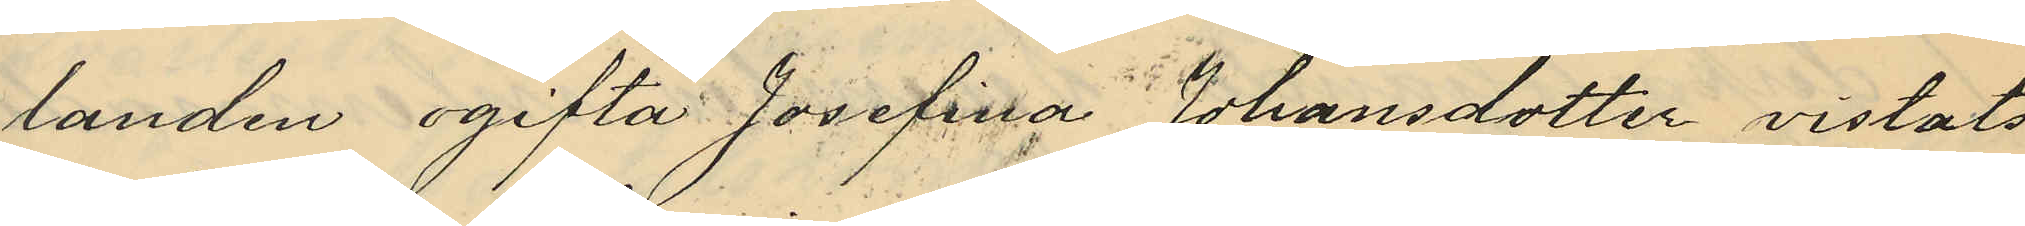landen ogifta Josefina Johansdotter vistats
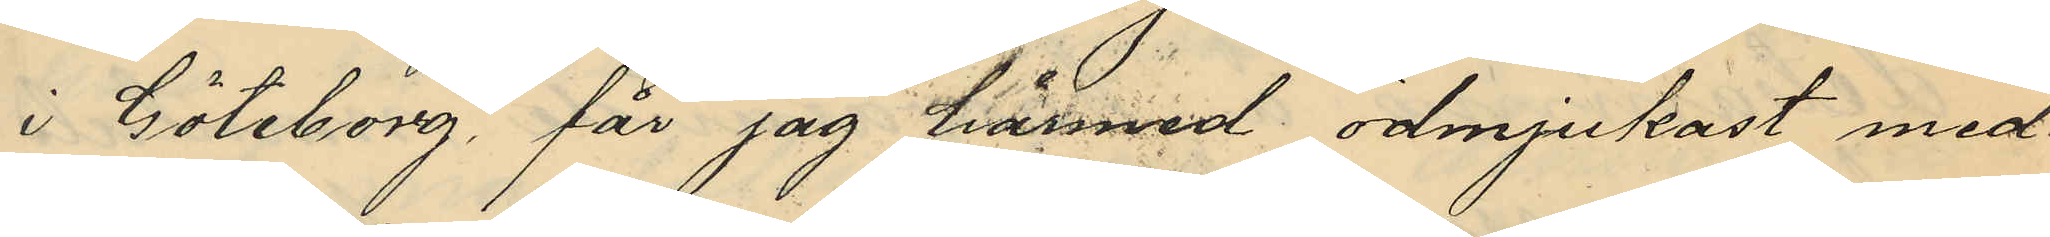i Göteborg får jag härmed ödmjukast med¬
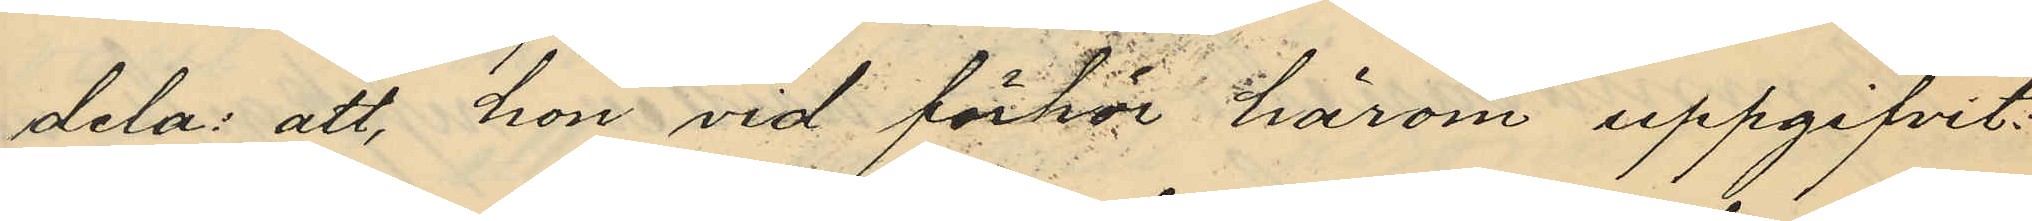dela: att, hon vid förhör härom uppgifvit:
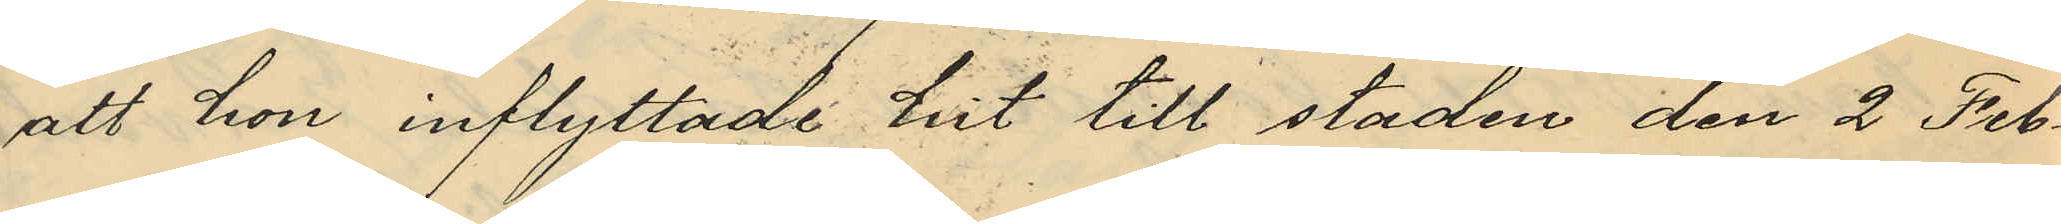att hon inflyttade hit till staden den 2 Feb¬
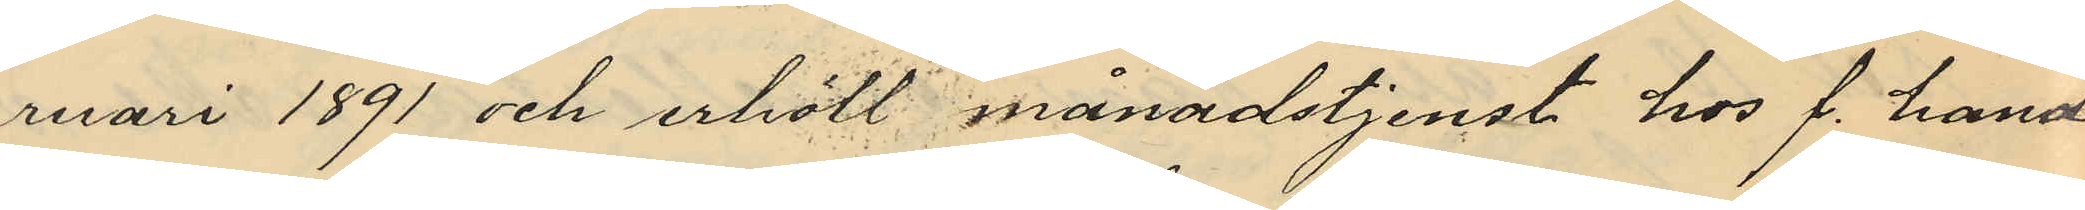ruari 1891 och erhöll månadstjenst hos f. hand¬
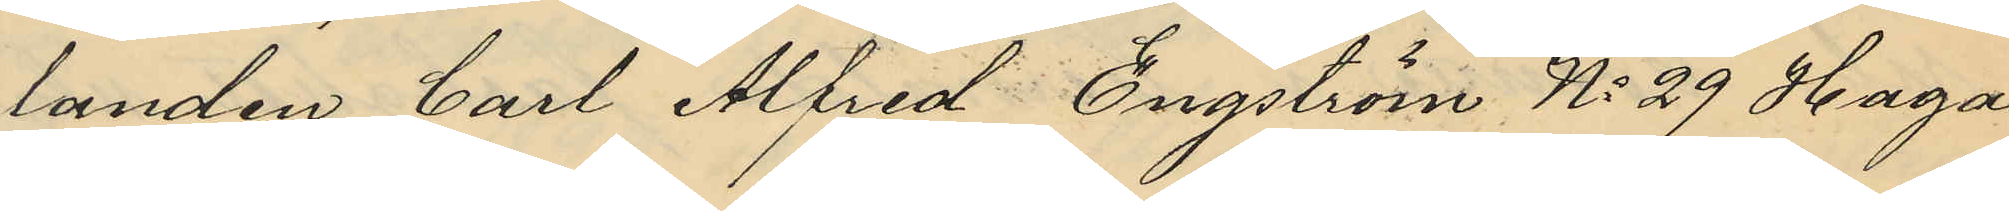landen Carl Alfred Engström No 29 Haga
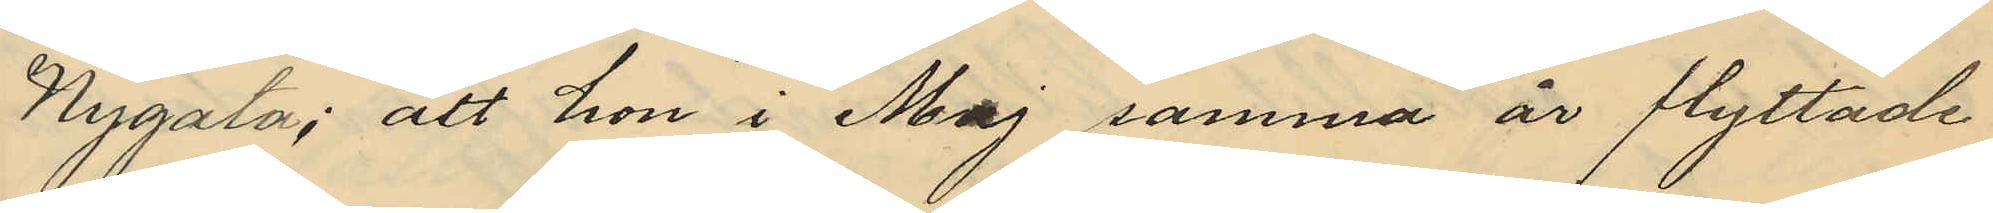Nygata; att hon i Maj samma år flyttade
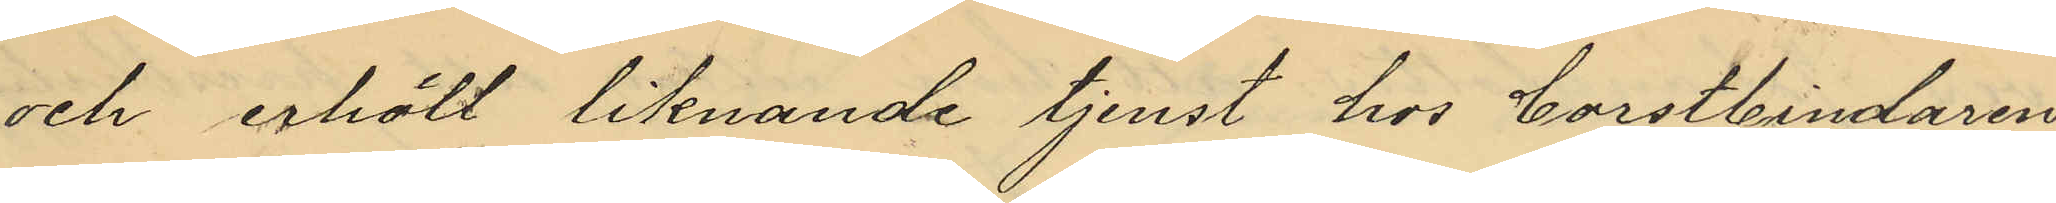och erhöll liknande tjenst hos borstbindaren
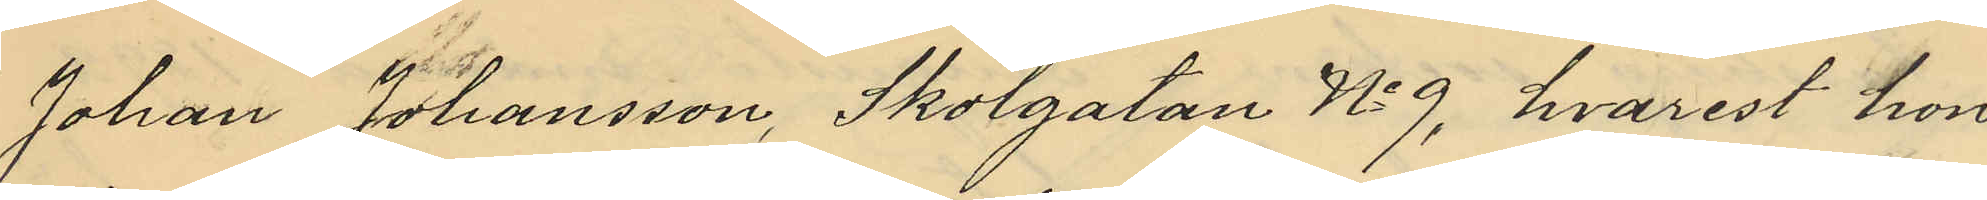Johan Johansson, Skolgatan No 9, hvarest hon
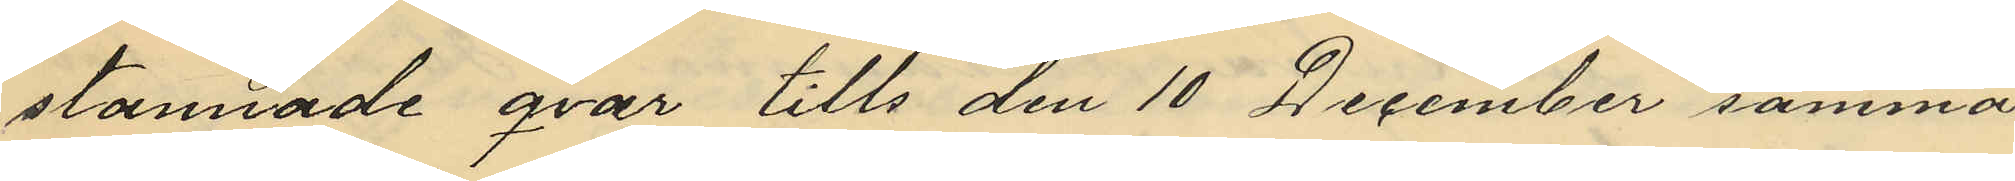stannade qvar tills den 10 December samma
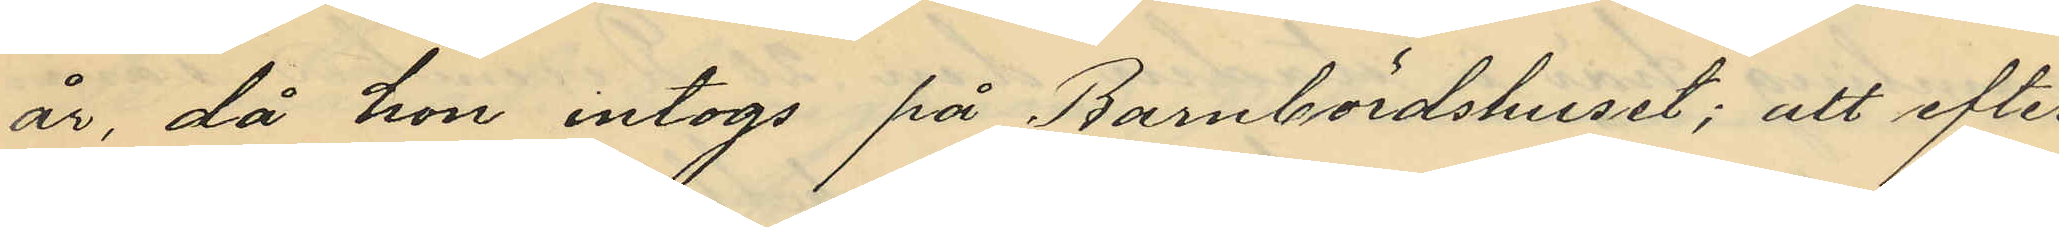år, då hon intogs på Barnbördshuset; att efter
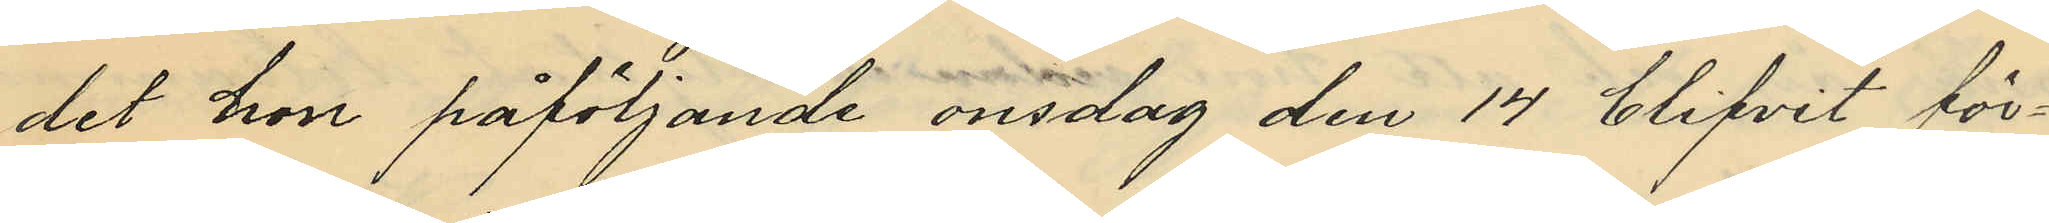det hon påföljande onsdag den 14 blifvit för¬
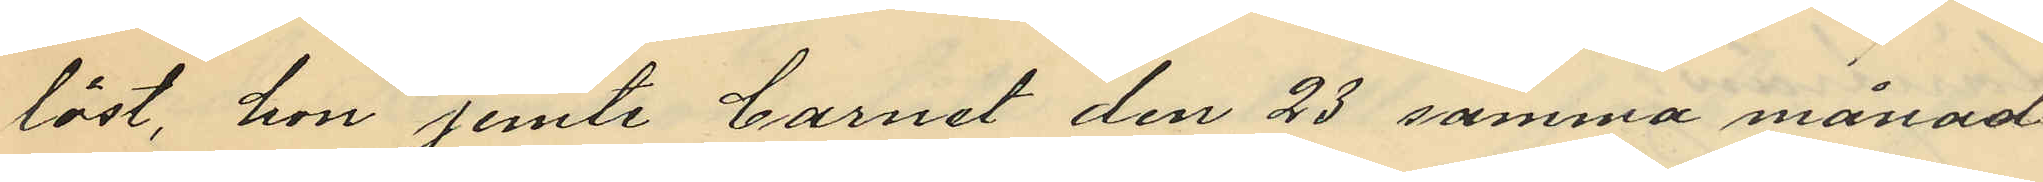löst, hon jemte barnet den 23 samma månad
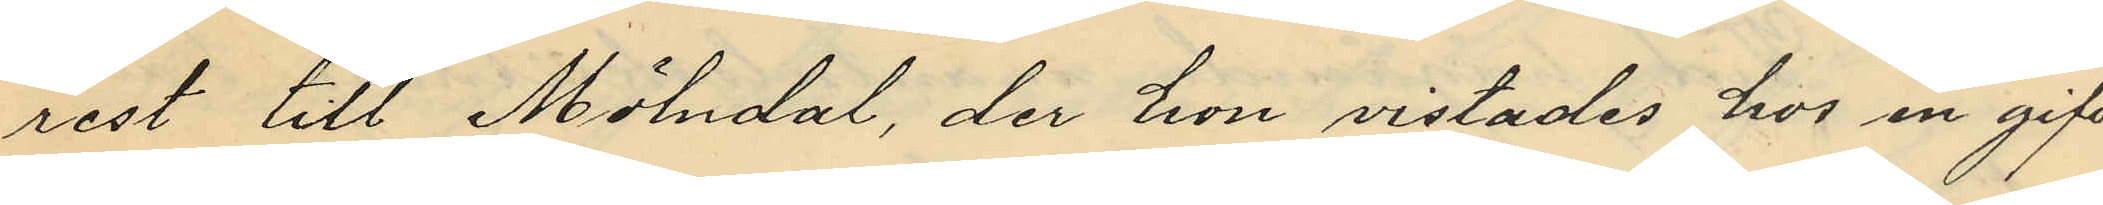rest till Mölndal, der hon vistades hos en gift
